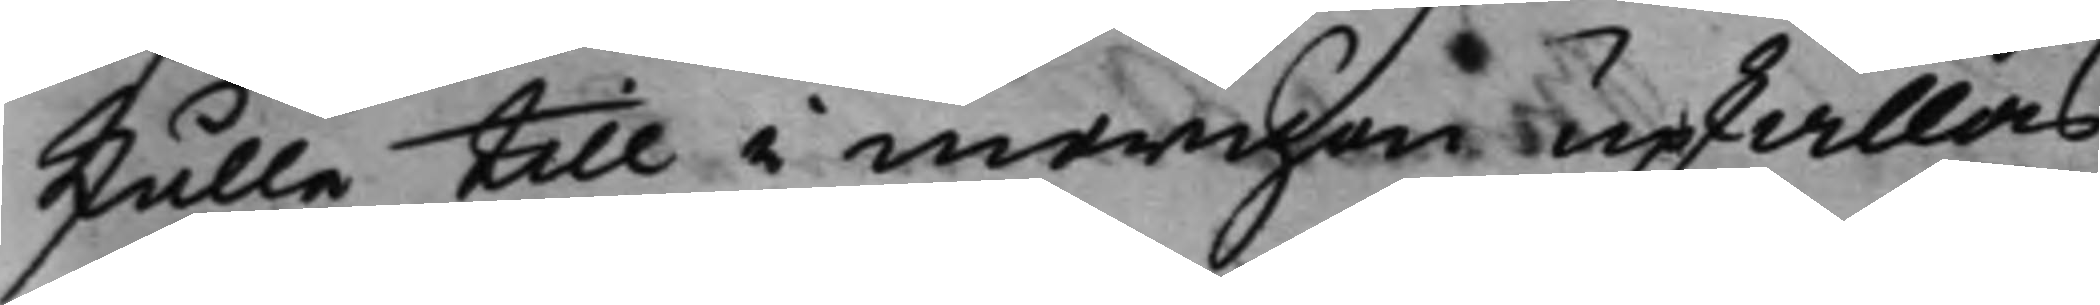skulle till i morgon upkallas.
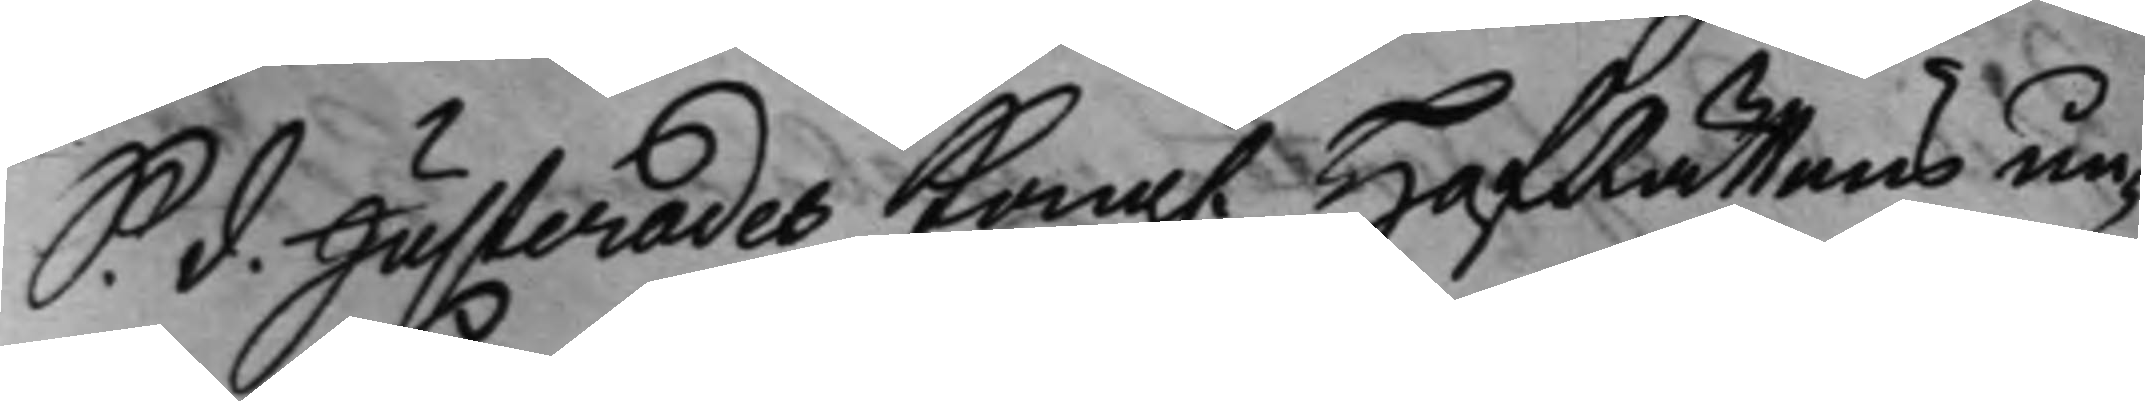S. d. Justerades Kong. HofRättens un¬
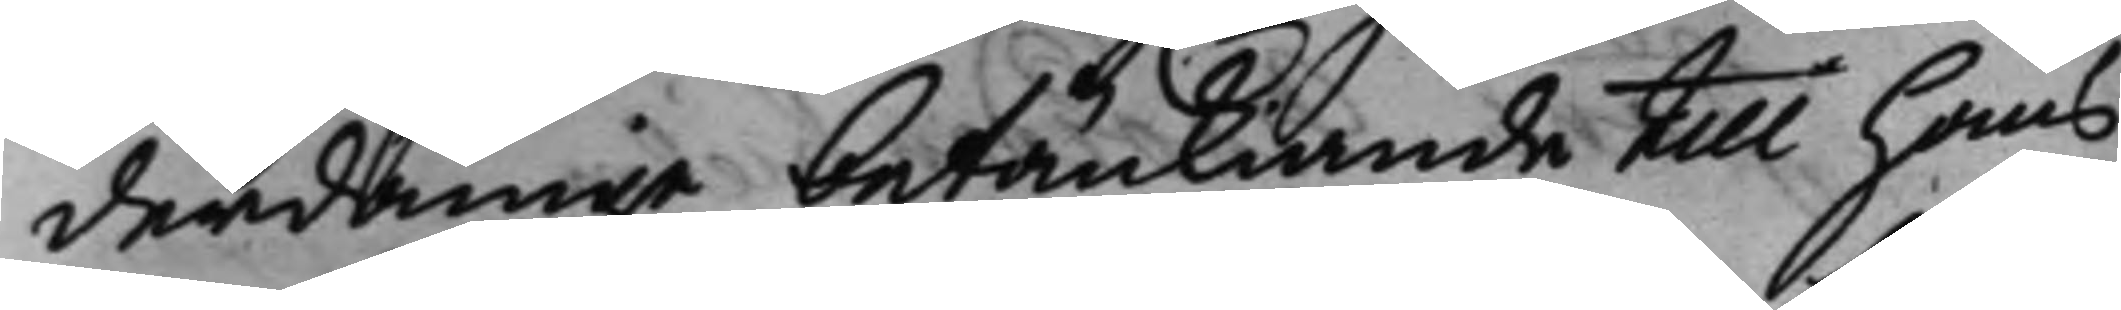derdånige betänkiande till hans
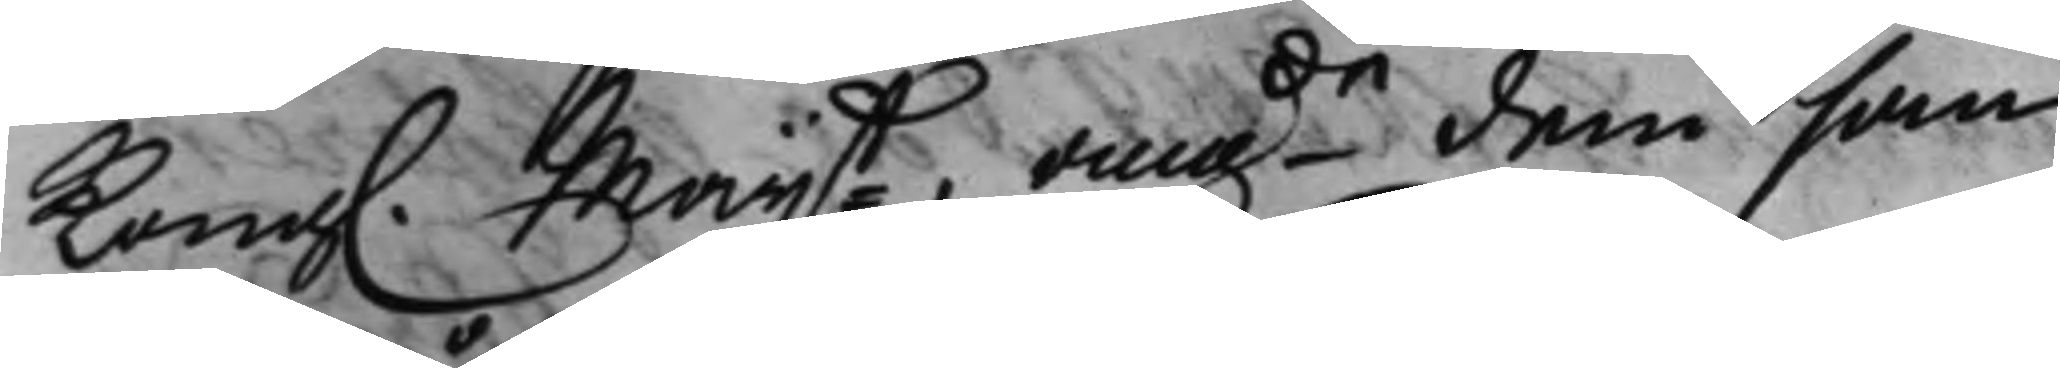Kong. Maijt angde dem som
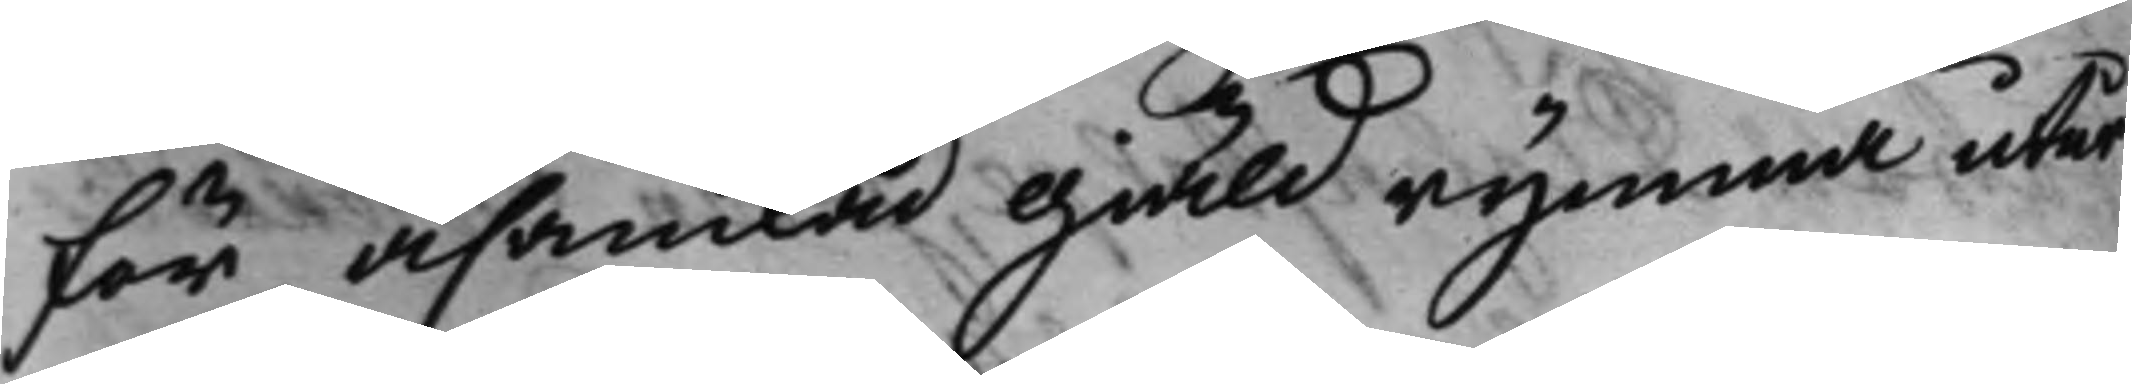för åsamkad giäld rymma utur
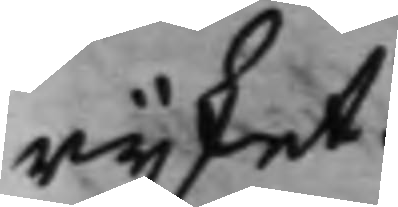rijket.
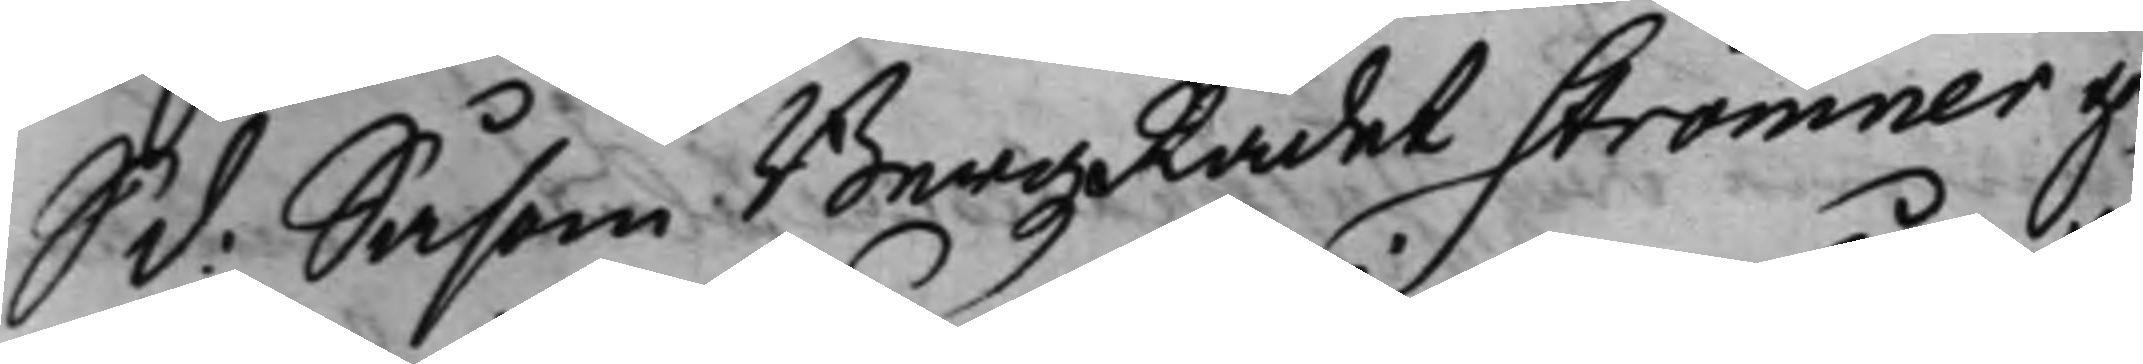S. d: Såsom BergzRådet Strömner ge¬
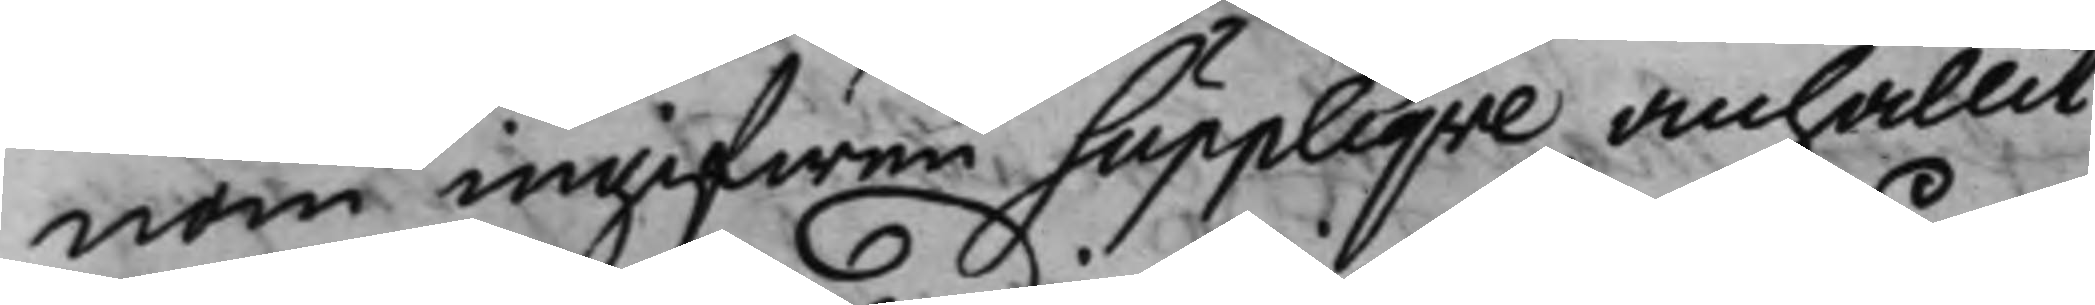nom ingifwen Supplique, anhållit
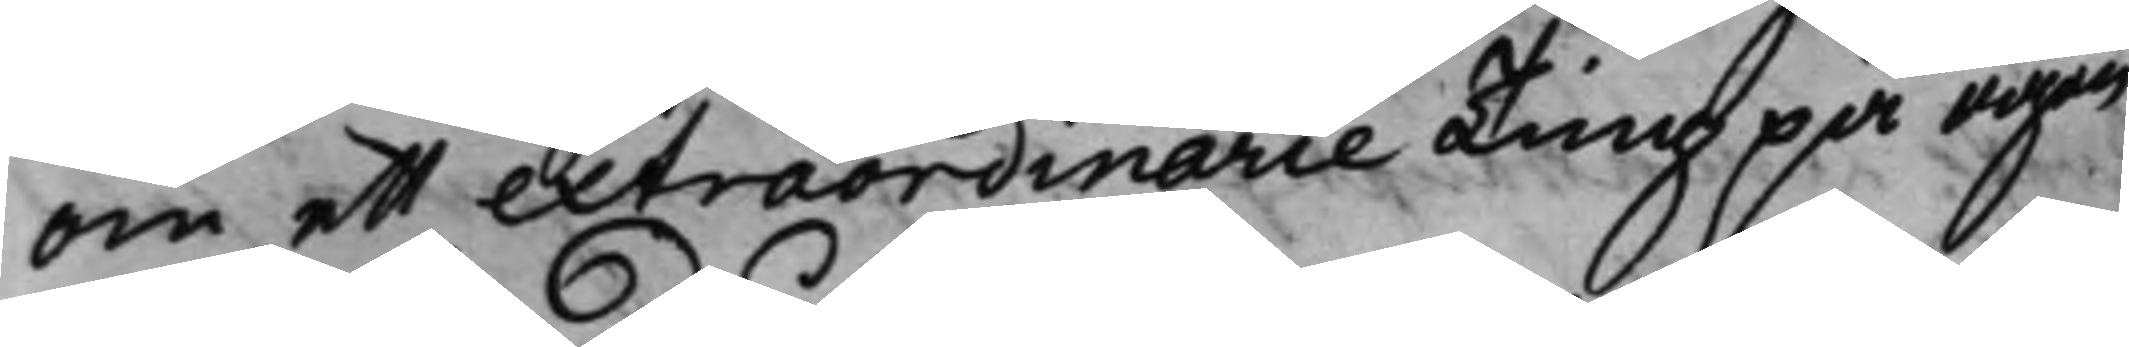om ett extraordinarie Ting på egen
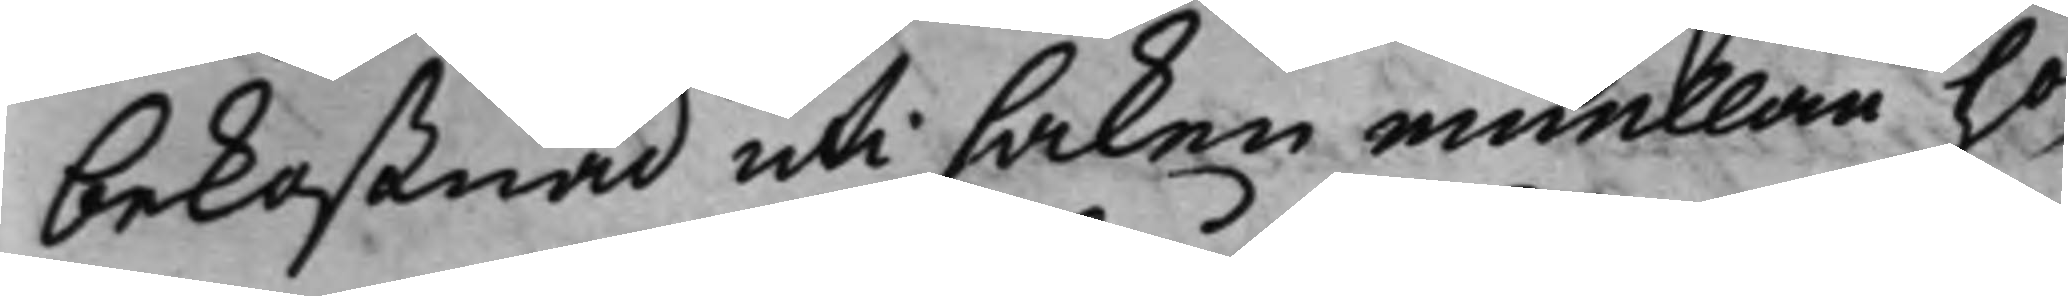bekostnad uti saken emellan ho¬
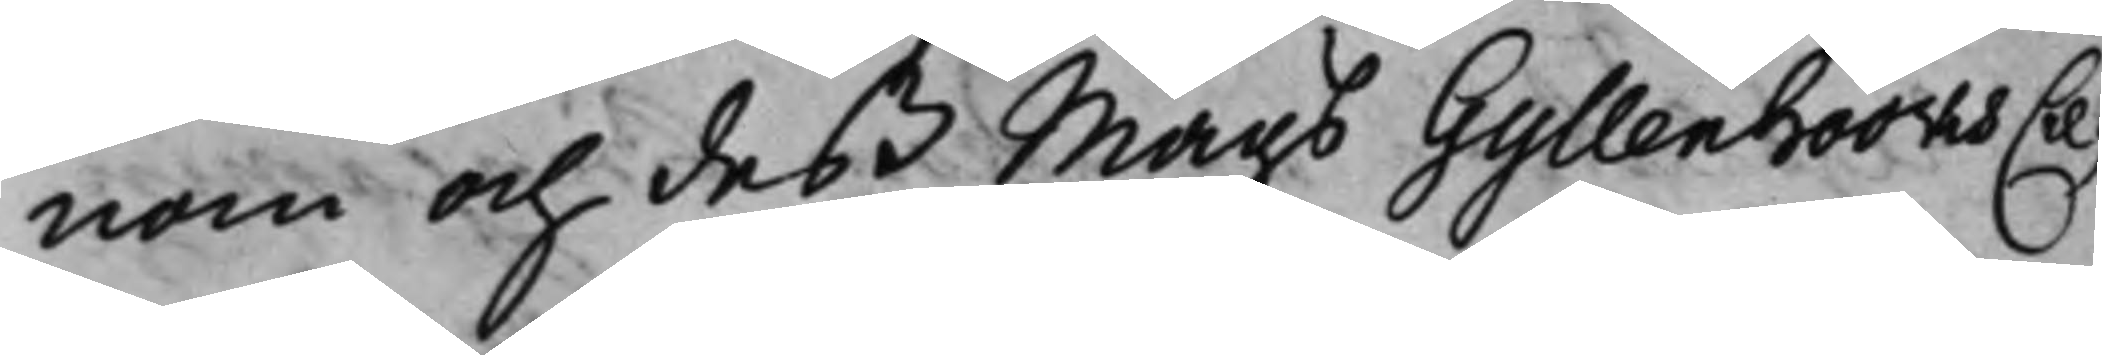nom och deß Mågs Gyllenhööks Cre¬
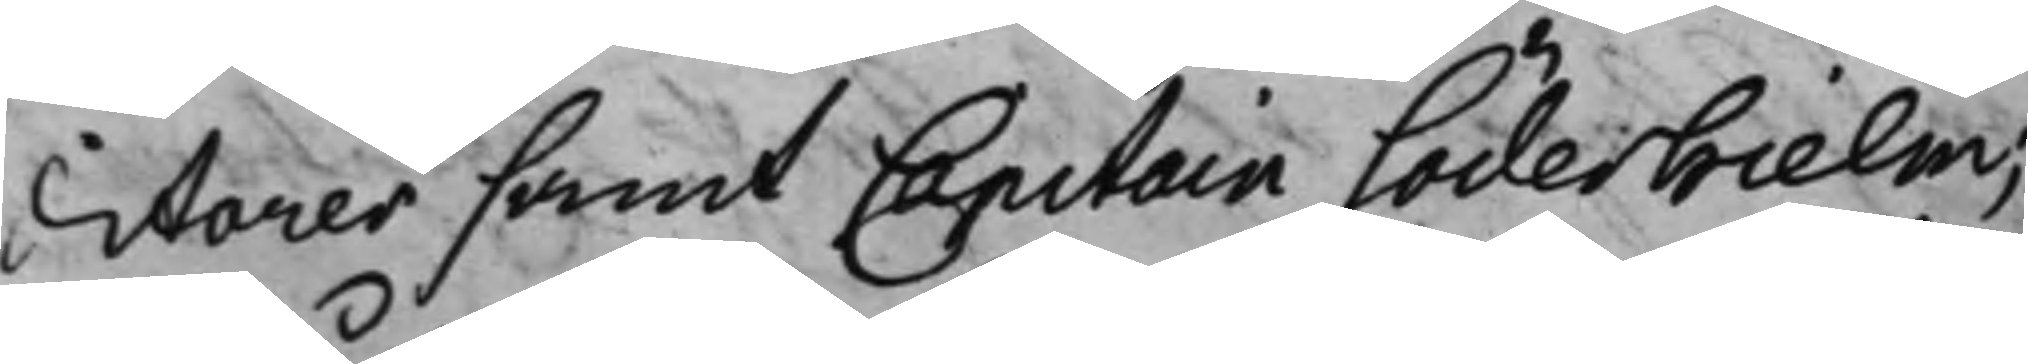ditorer samt Capitain Söderhielm;
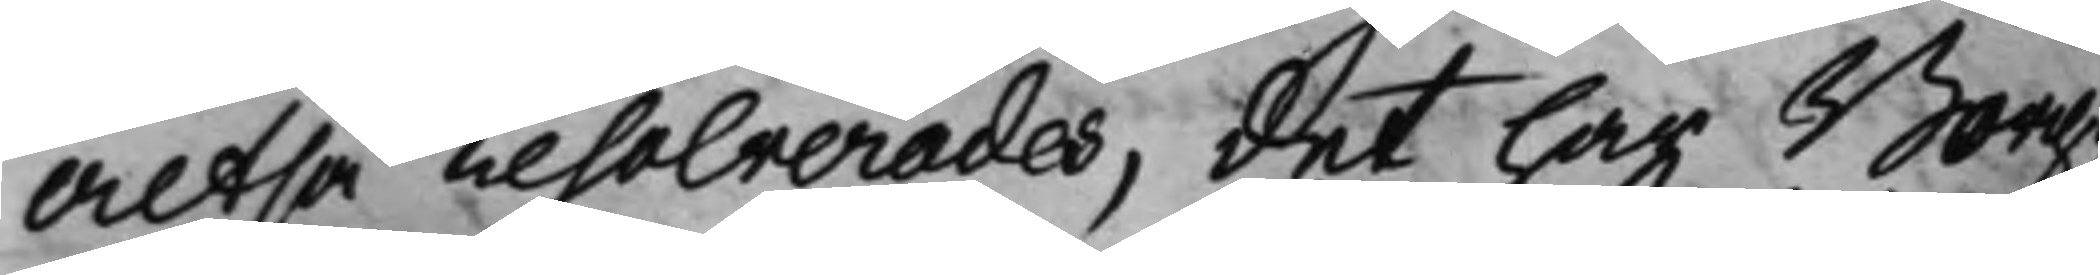Altså resolverades, det har Borg¬
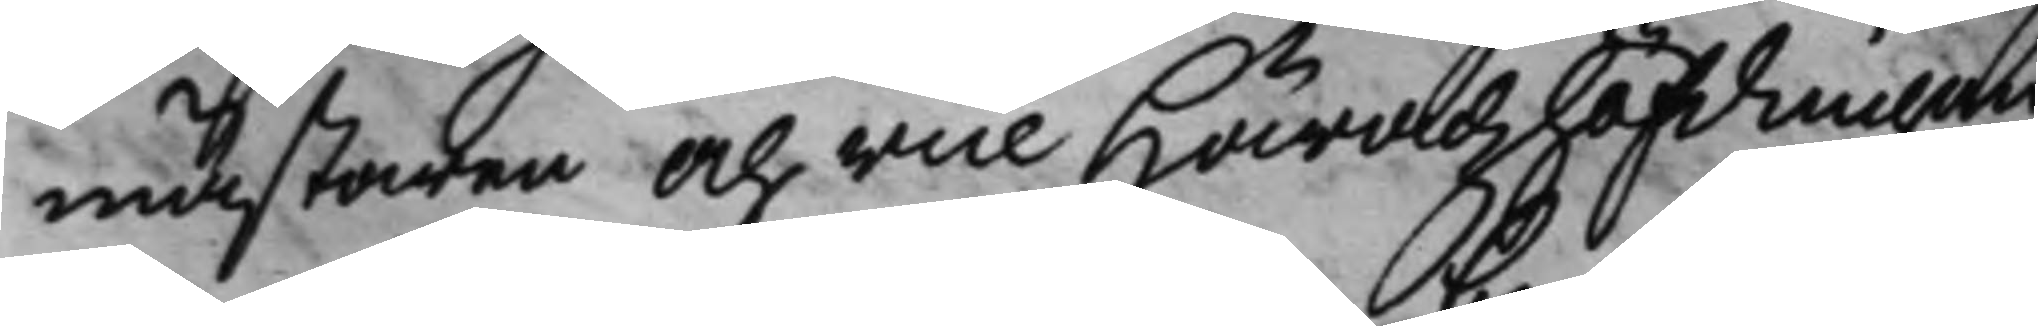mästaren och vice Häradzhöfdingen
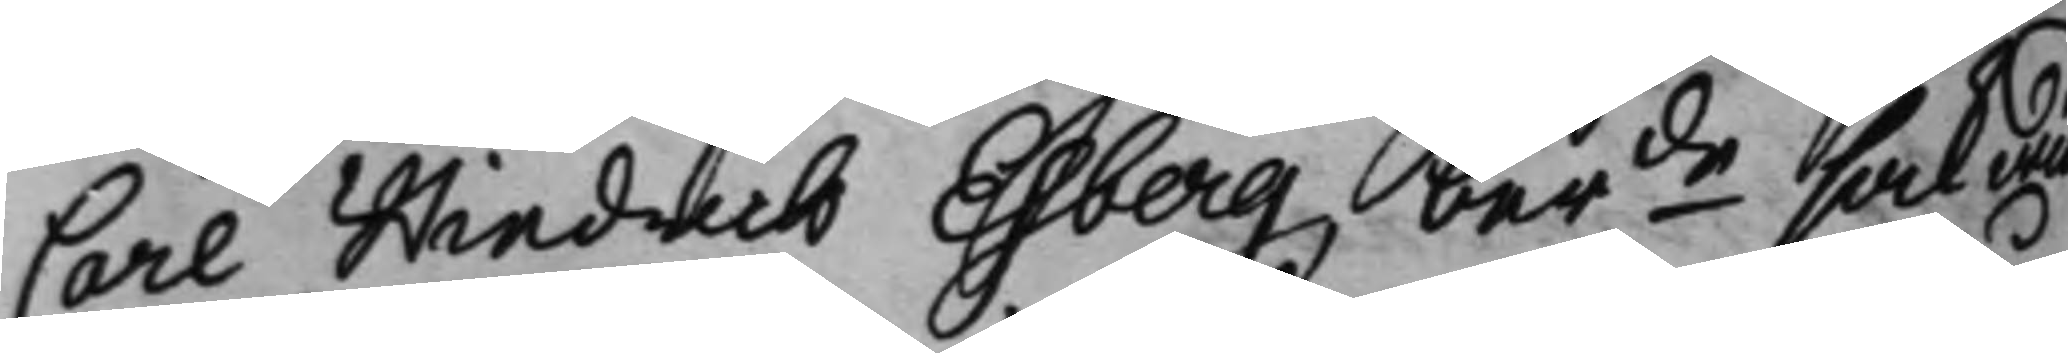Carl Hindrich Esberg, berde sak wid
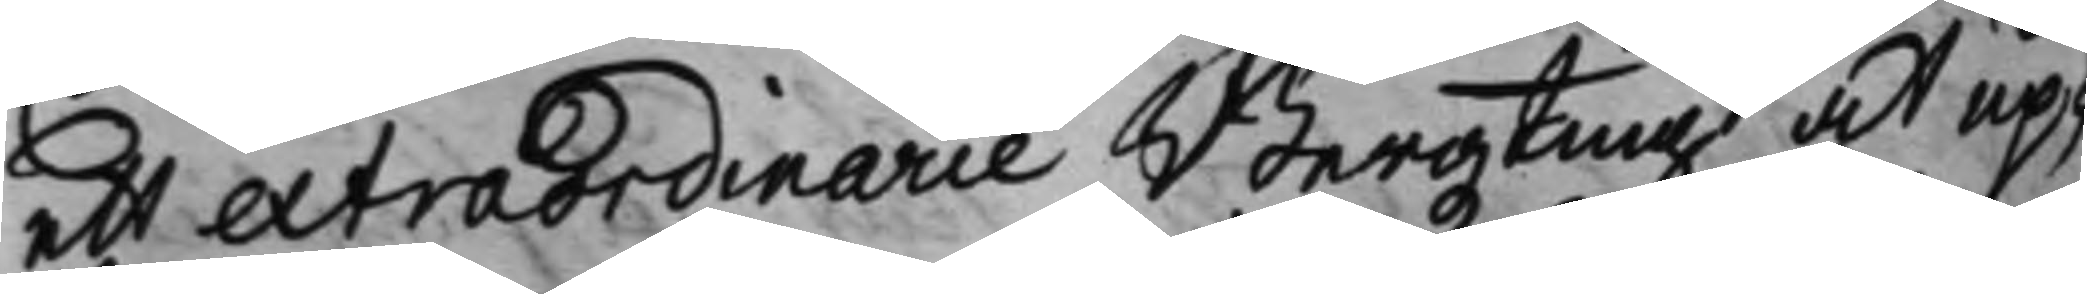ett extraordinarie Bergzting at up¬
